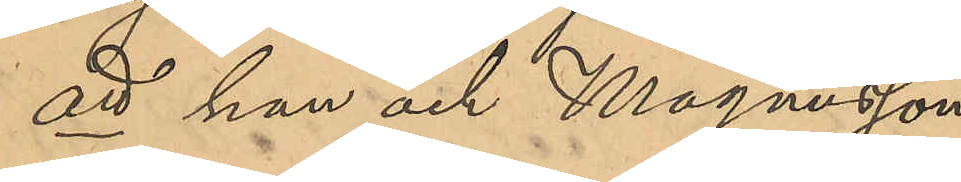att han och Magnusson
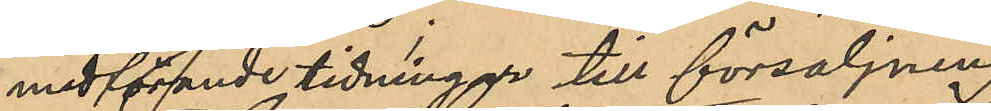medförande tidningar till försäljning
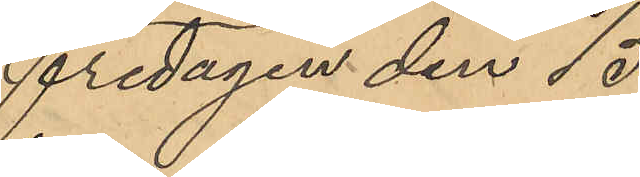Fredagen den 15
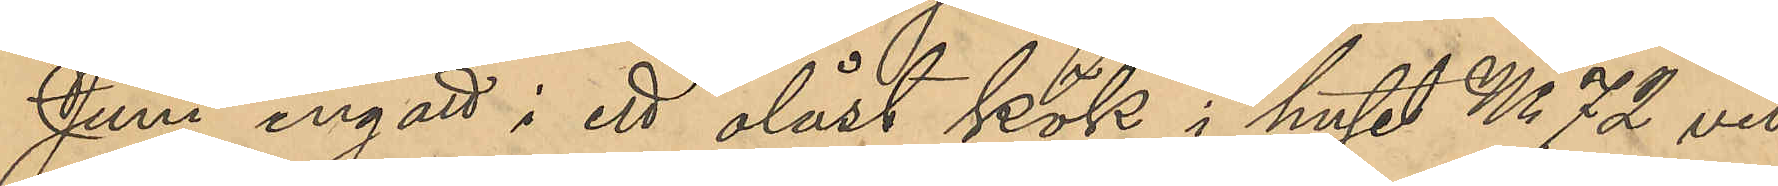Juni ingått i ett olåst kök i huset No 72 vid
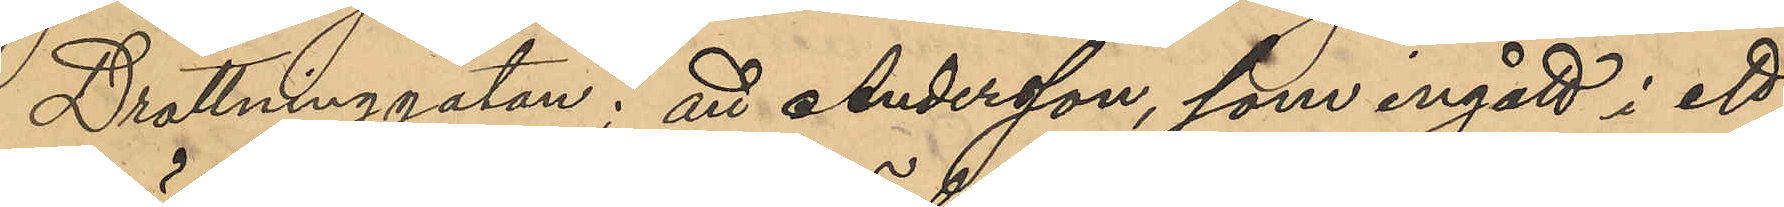Drottninggatan; att Andersson, som ingått i ett
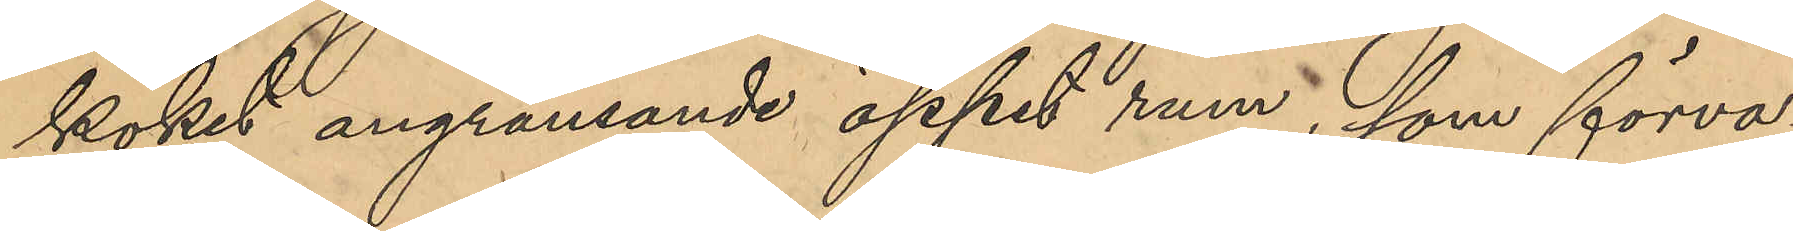köket angränsande öppet rum, som förva¬
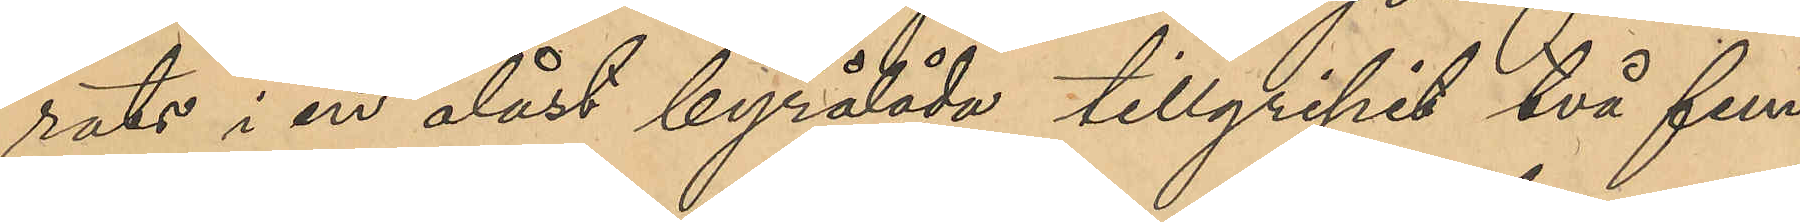rats i en olåst byrålåda tillgripit två fem¬
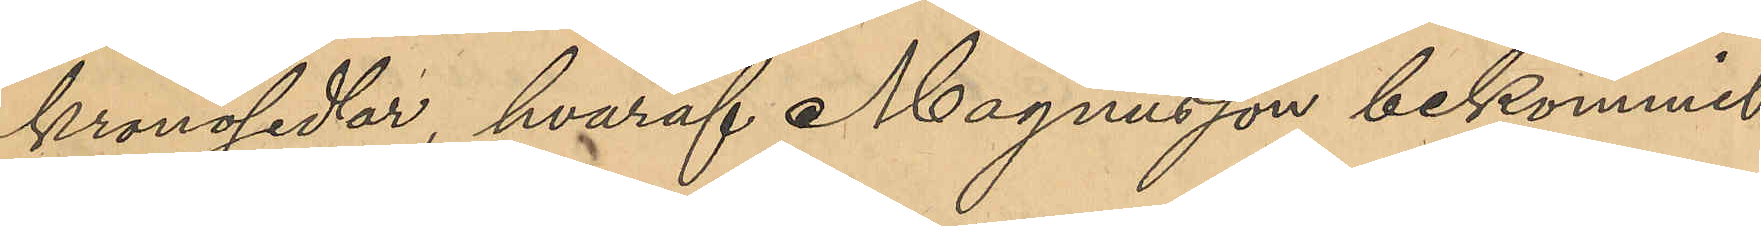kronosedlar, hvaraf Magnusson bekommit
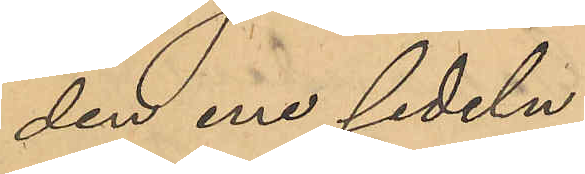den ena sedeln;
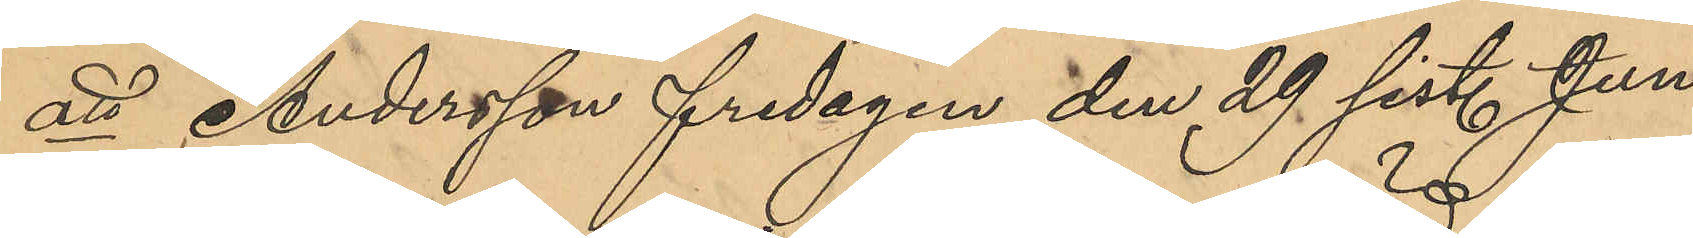att Andersson fredagen den 29 sist. Juni
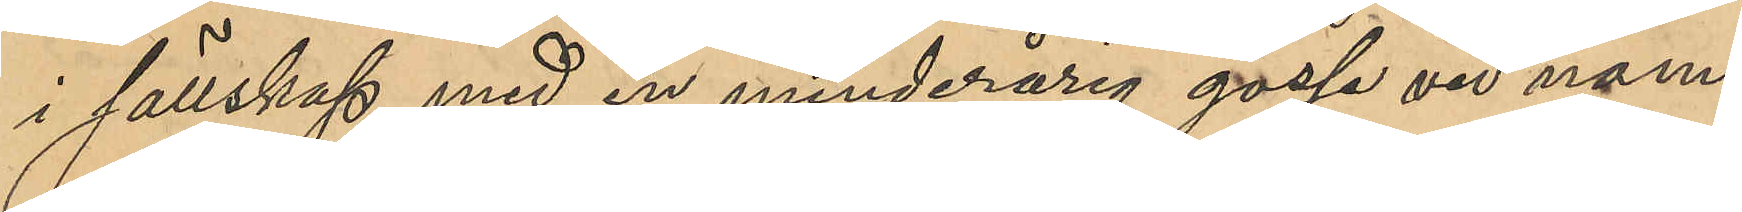i sällskap med en minderårig gosse vid namn
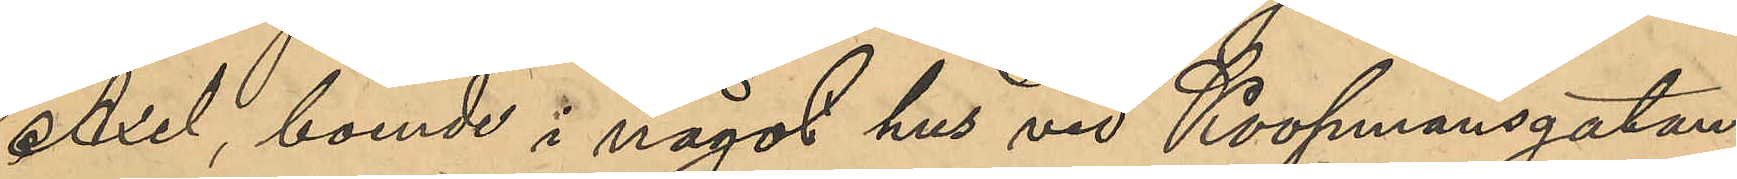Axel boende i något hus vid Koopmansgatan
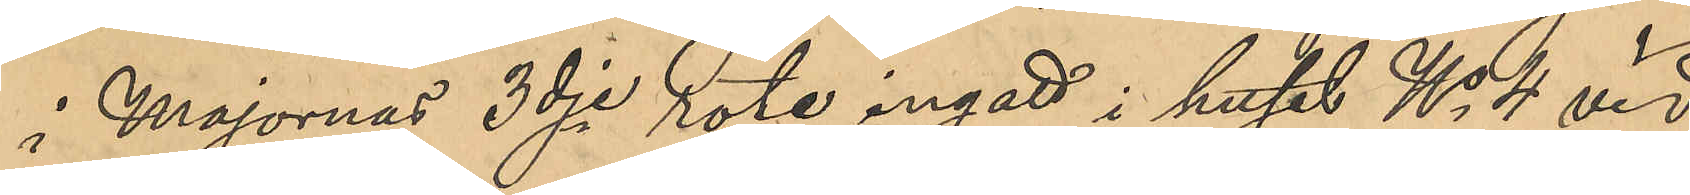i Majornas 3dje rote ingatt i huset No 4 vid
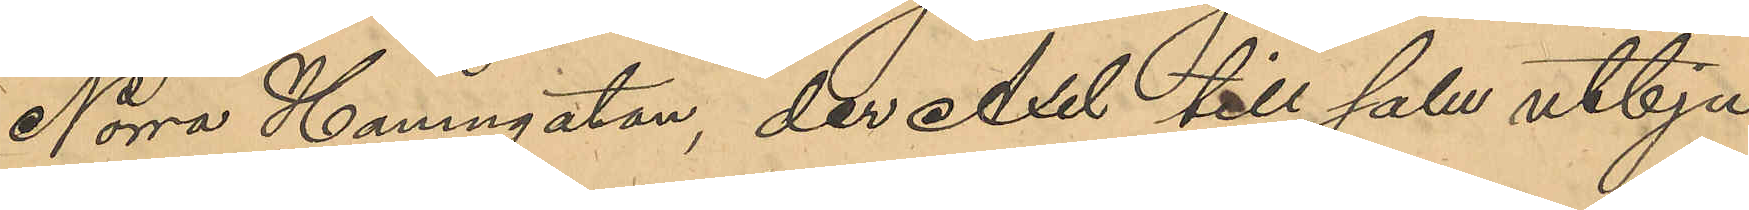Norra Hamngatan, der Axel till salu utbju¬
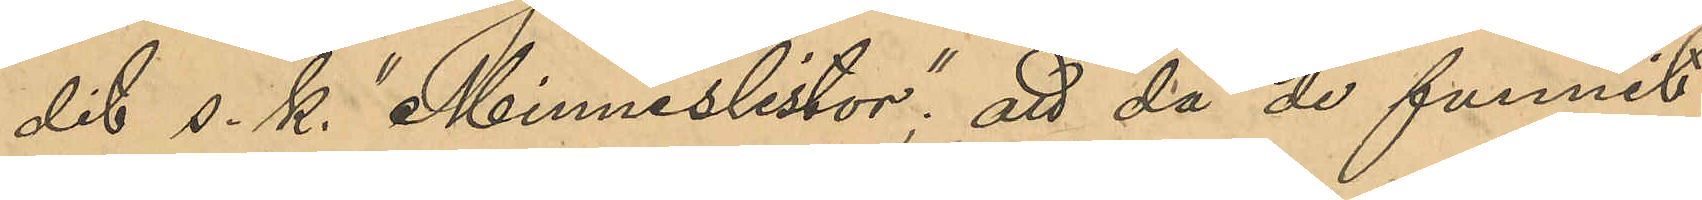dit s. k. "MInneslistor"; att då de funnit
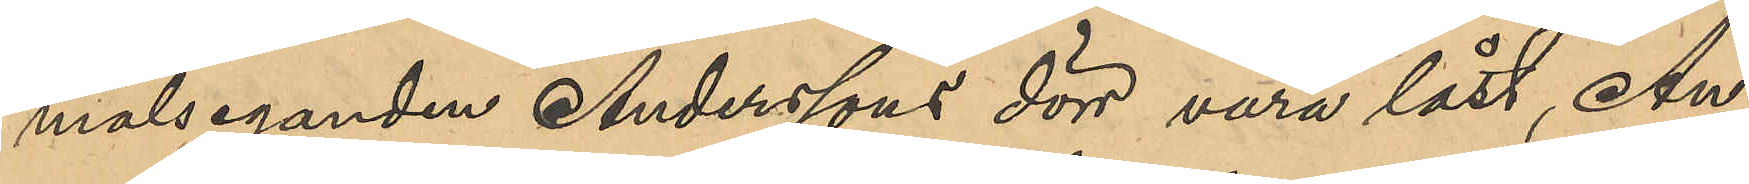målseganden Anderssons dörr vara låst, An¬
